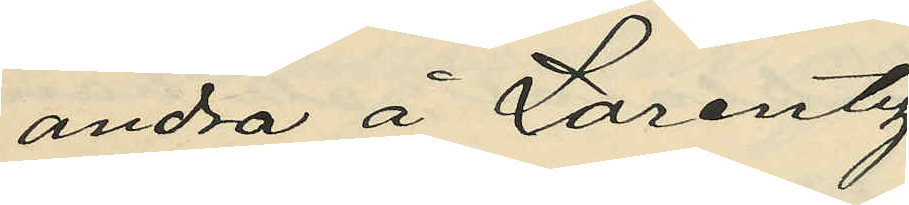andra å Lorentz¬
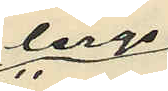bergs¬
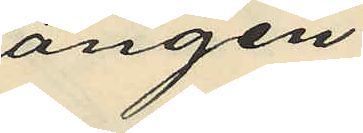ängen;
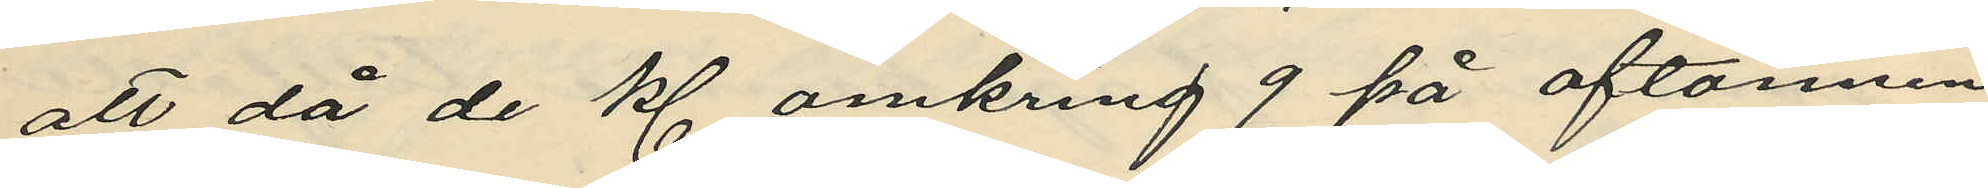att då de kl. omkring 9 på aftonnen
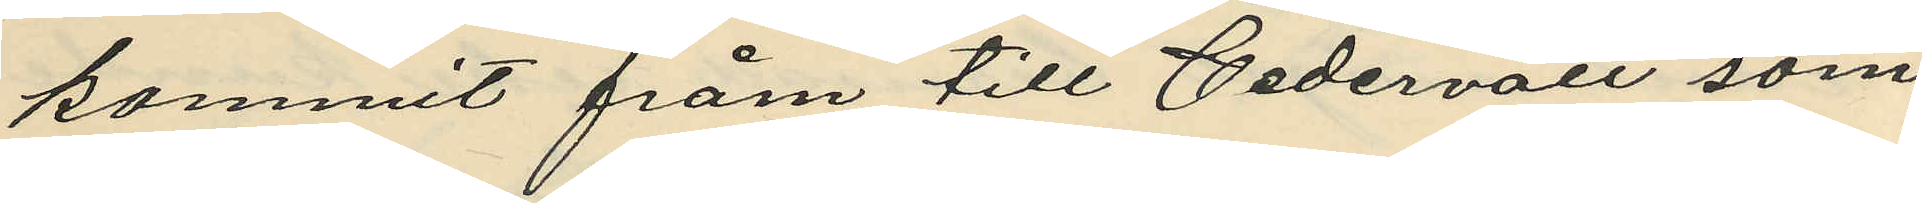kommit fråm till Cedervall som
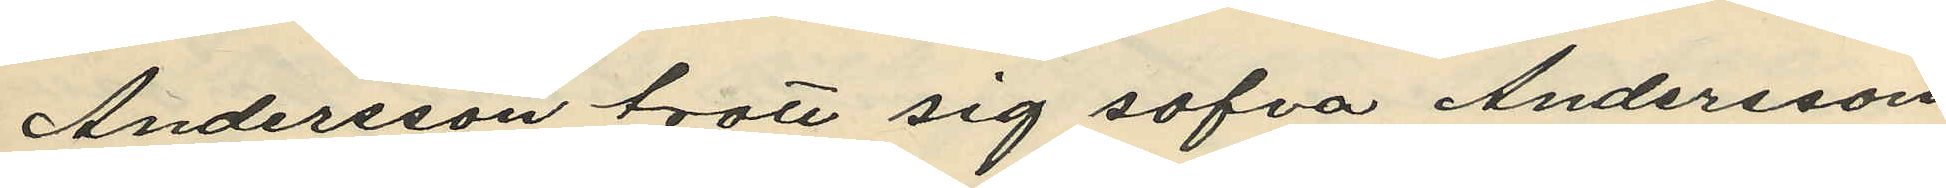Andersson trott sig sofva Andersson
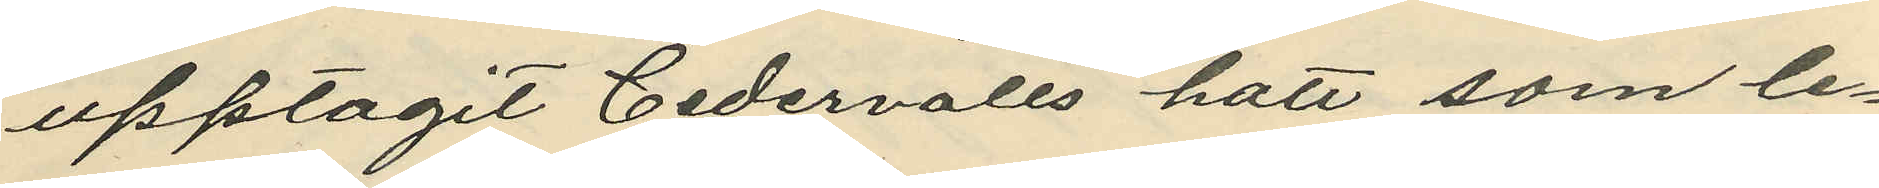upptagit Cedervalls hatt som le¬
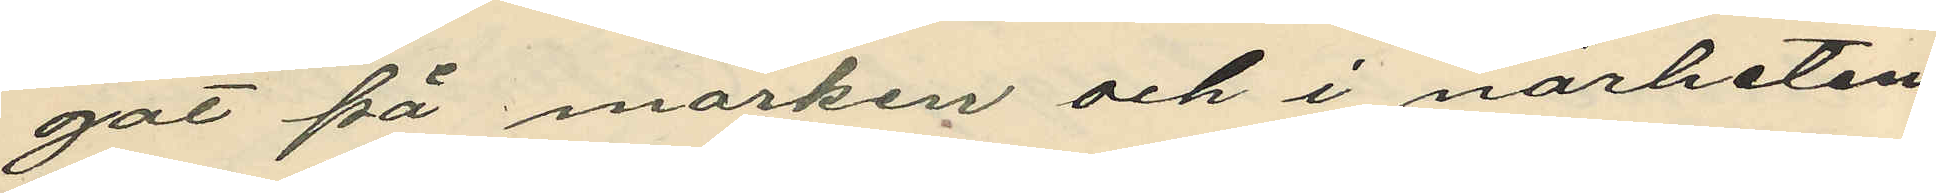gat på marken och i närheten
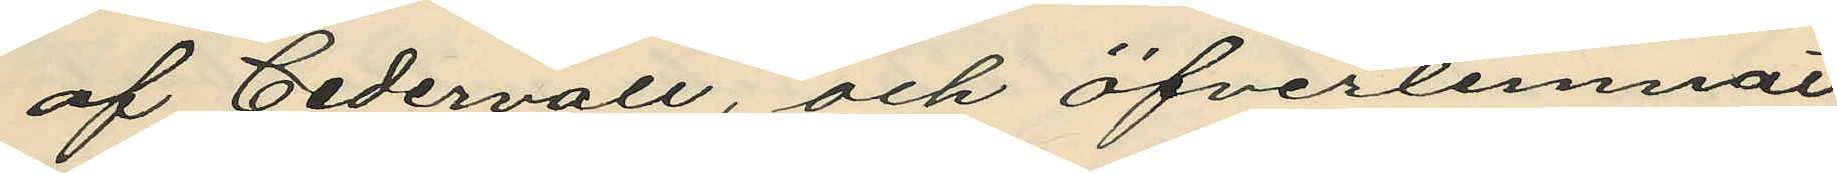af Cedervall, och öfverlemnat
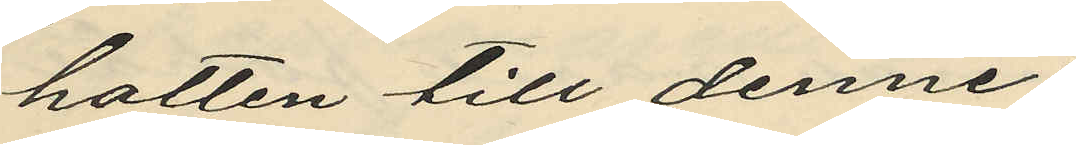hatten till denne;
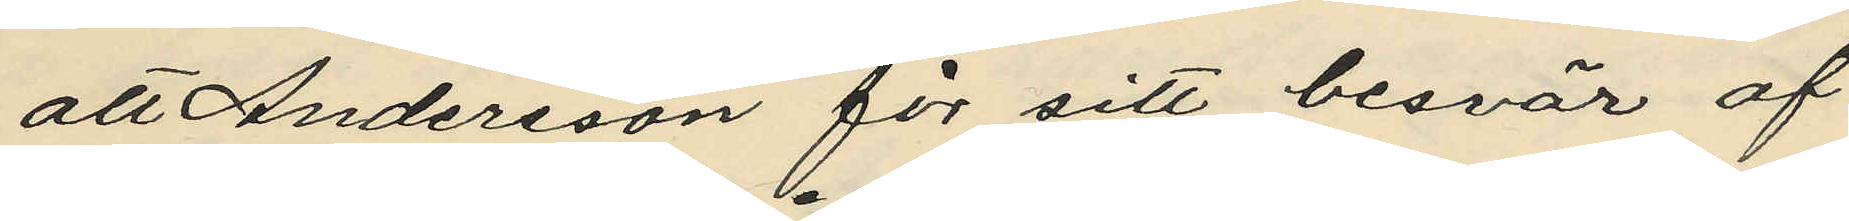att Andersson för sitt besvär af
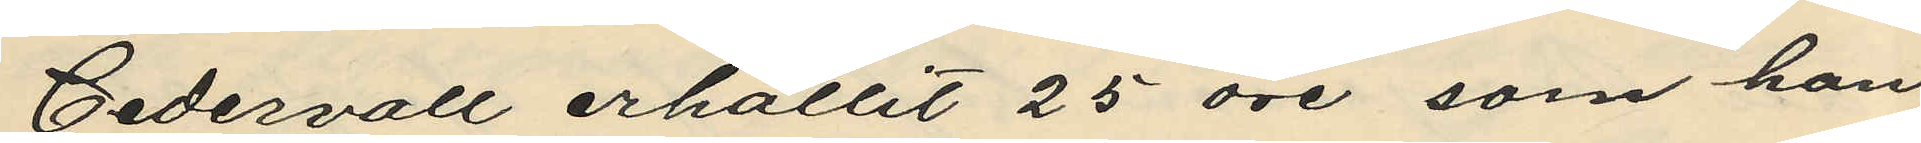Cedervall erhållit 25 öre som han
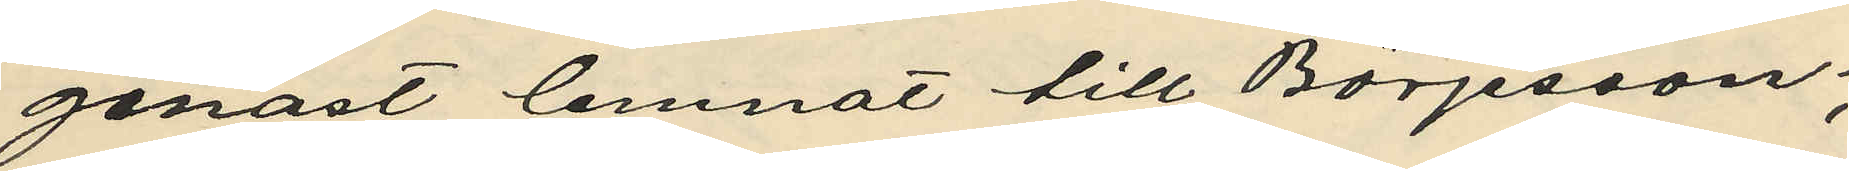genast lemnat till Börjesson;
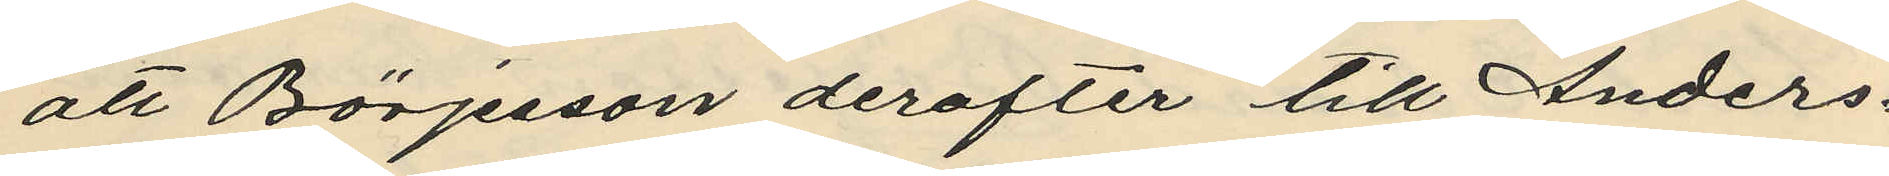att Börjesson derefter till Anders¬
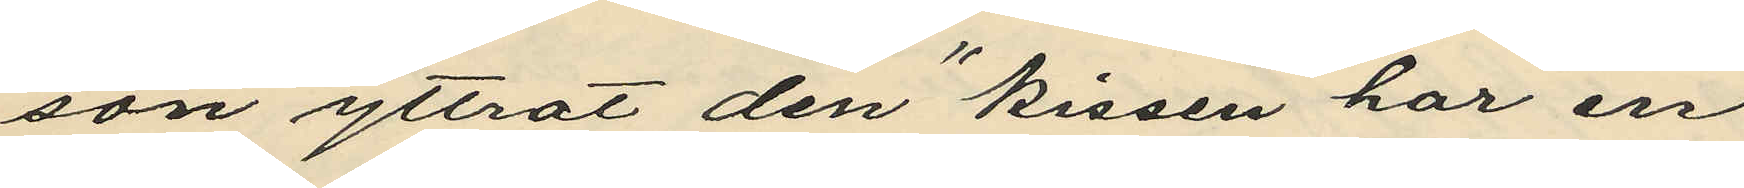son yttrat den "kissen har en
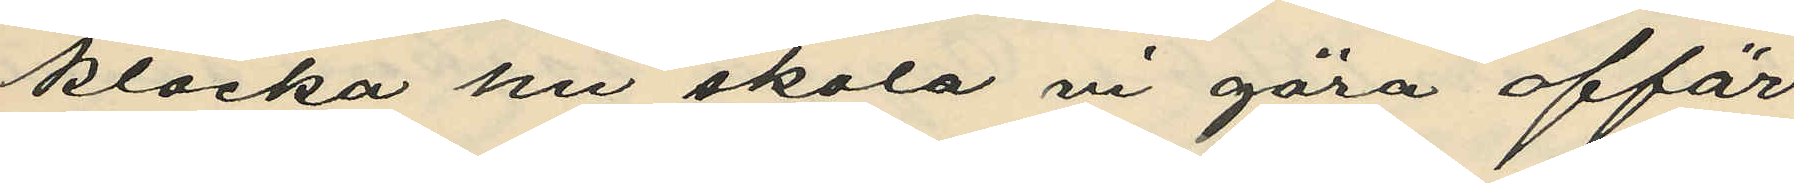klocka nu skola vi göra affär,
